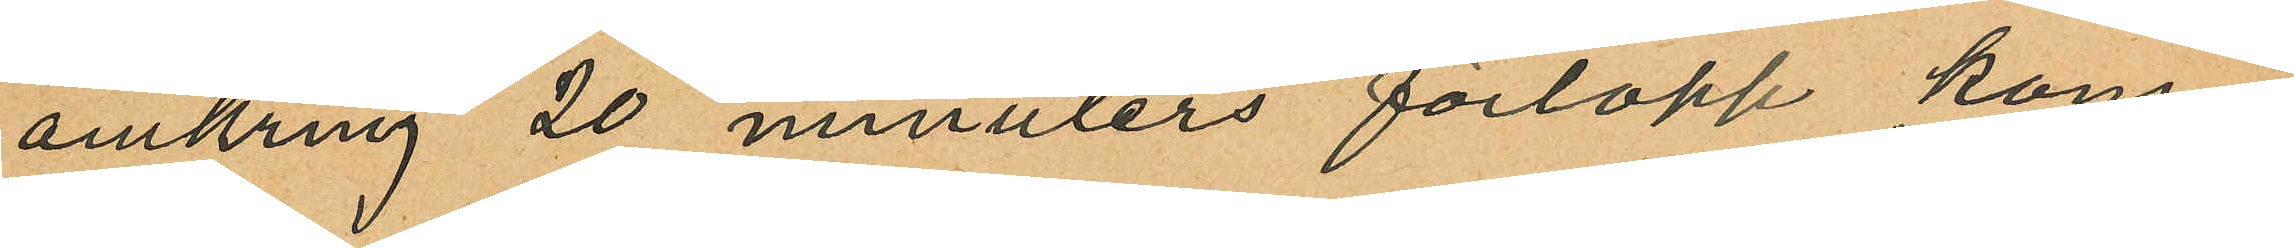omkring 20 minuters förlopp kom¬
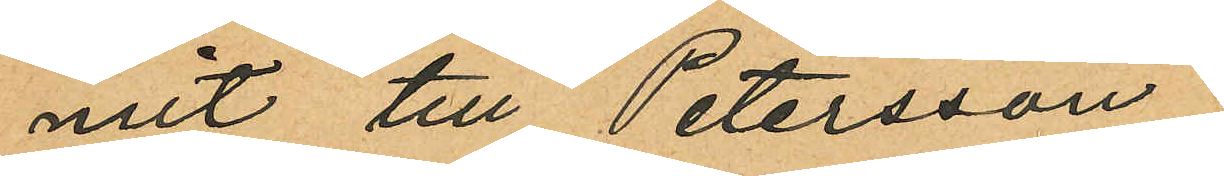mit till Petersson
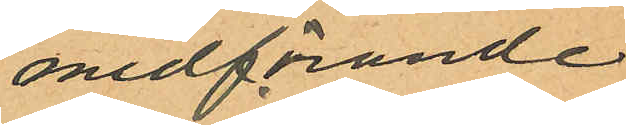medförande
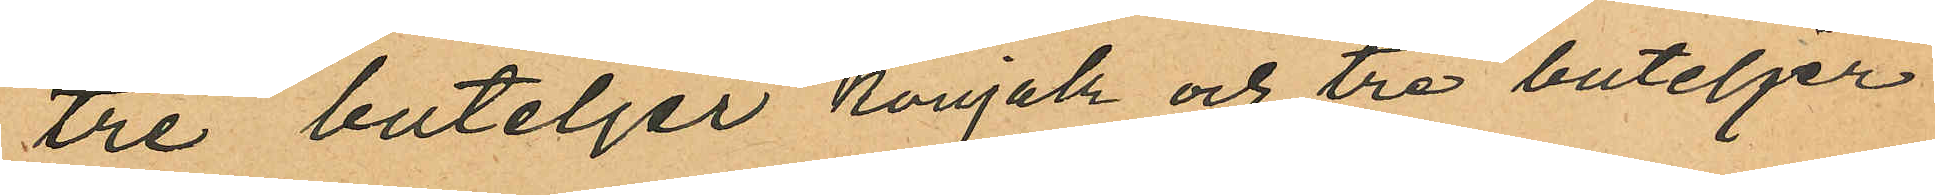tre buteljer konjak och tre buteljer
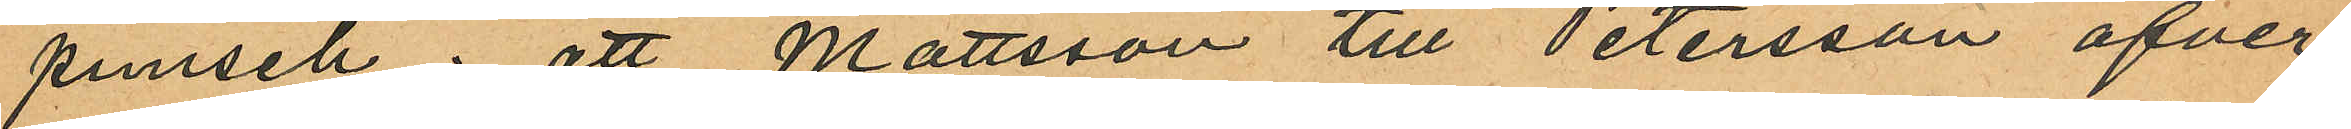punsch; att Mattsson till Petersson öfver¬
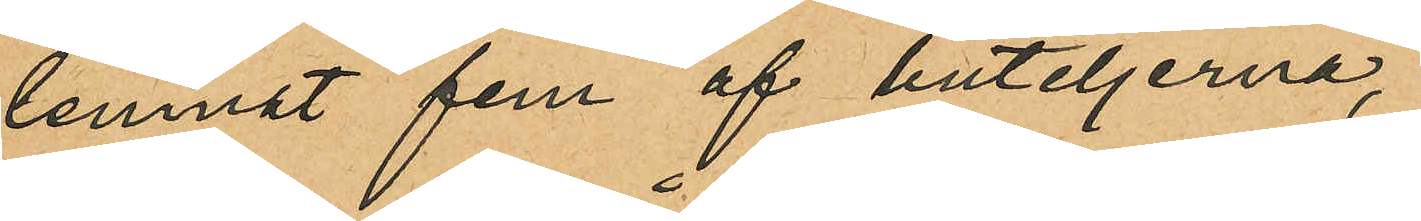lemnat fem af buteljerna,
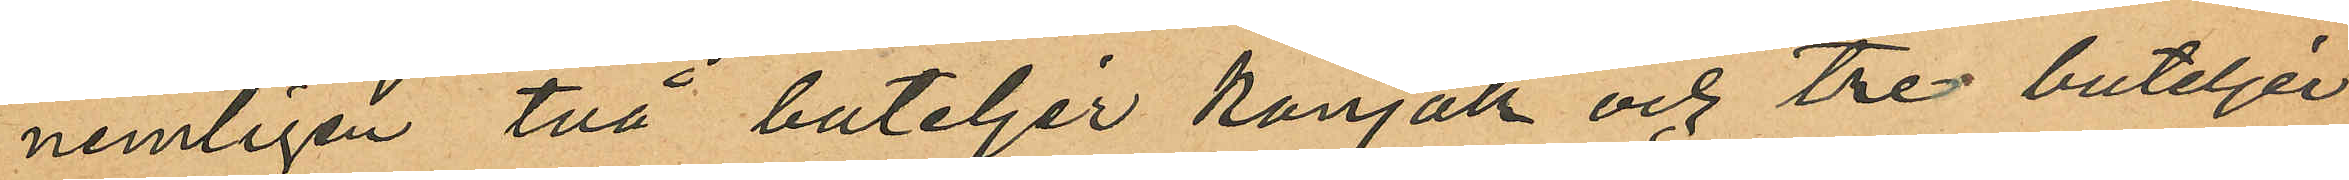nemligen två buteljer konjak och tre buteljer
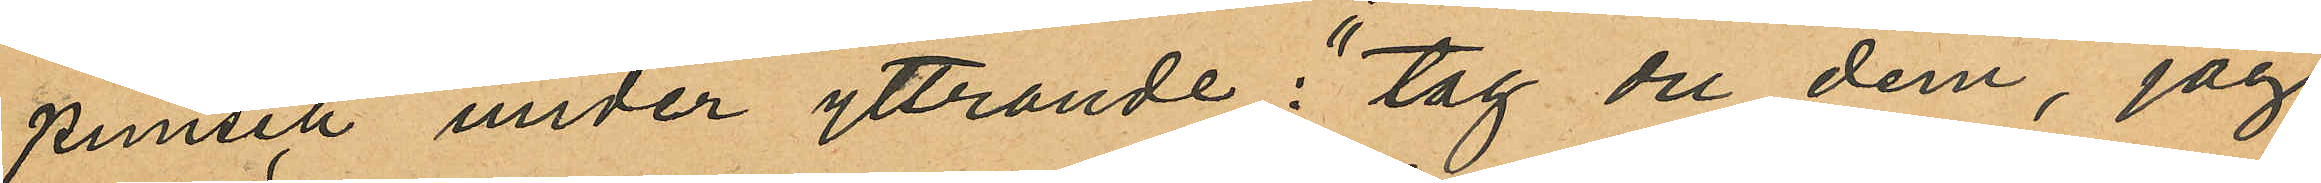punsch under yttrande: "tag du dem, jag
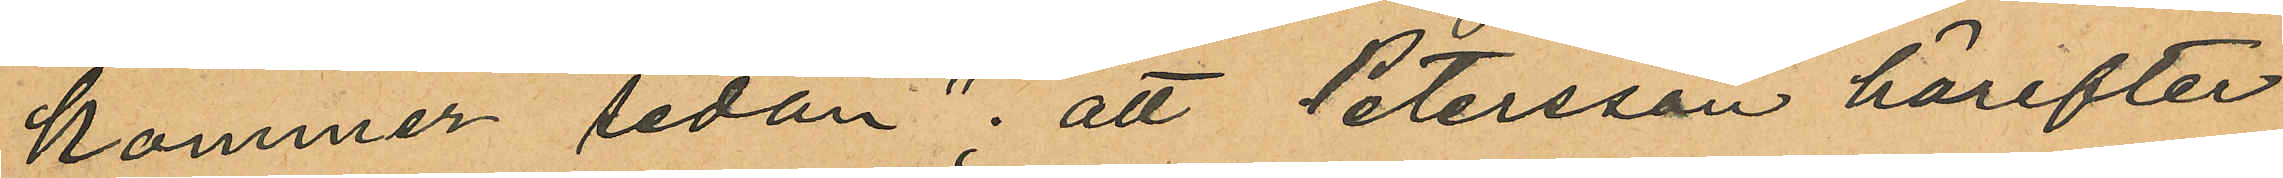kommer sedan"; att Petersson härefter
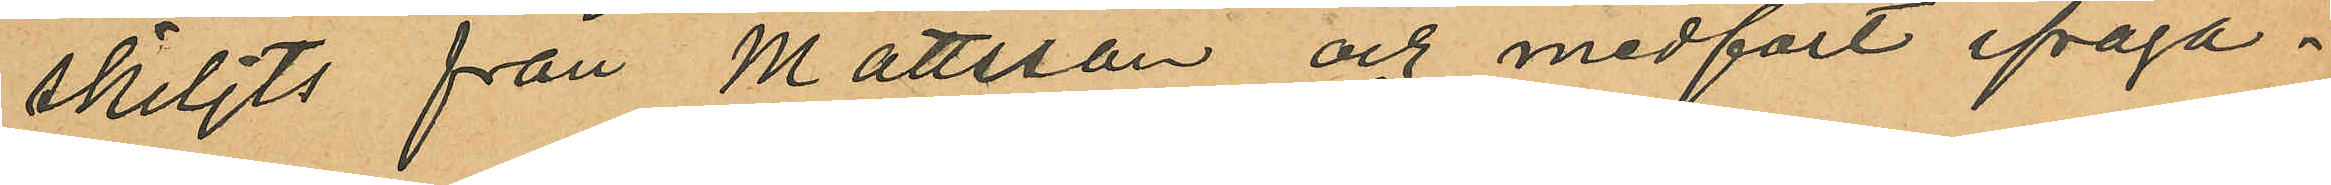skiljts från Mattsson och medfört ifråga¬
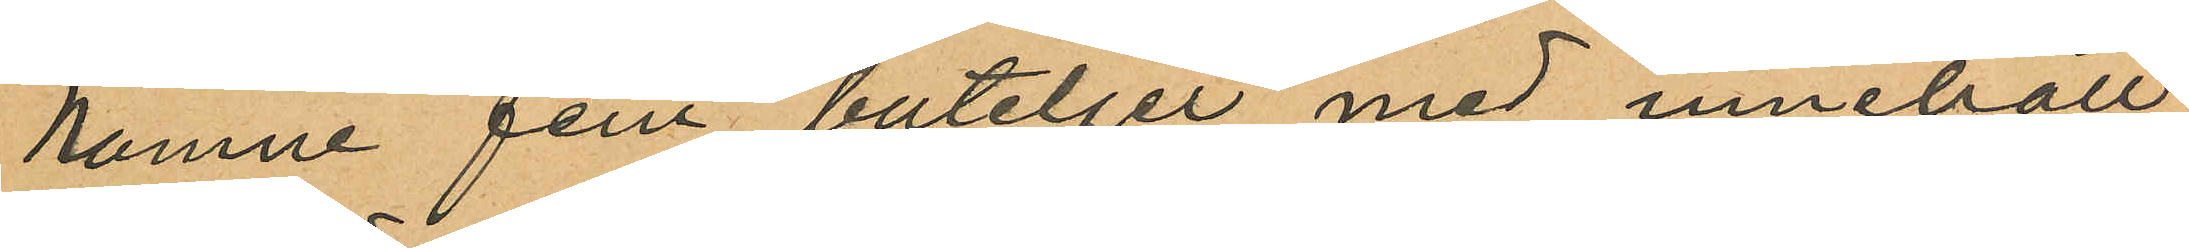komne fem buteljer med innehåll
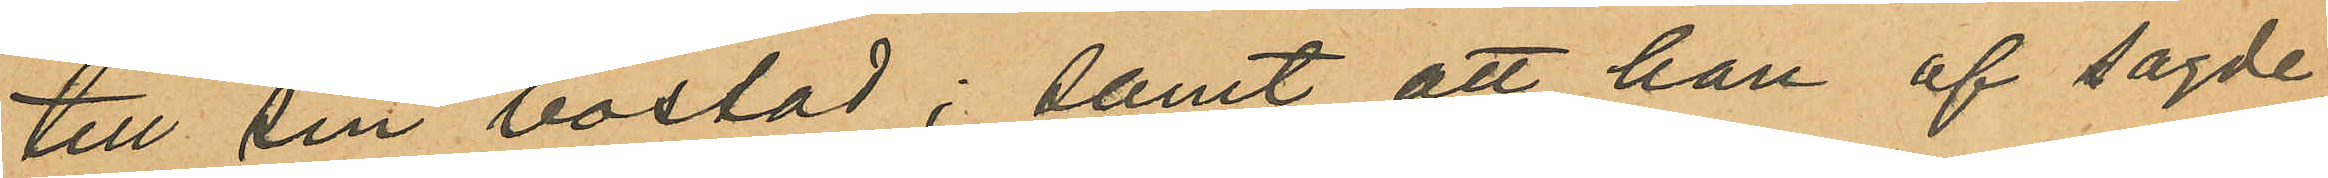till sin bostad; samt att han af sagde
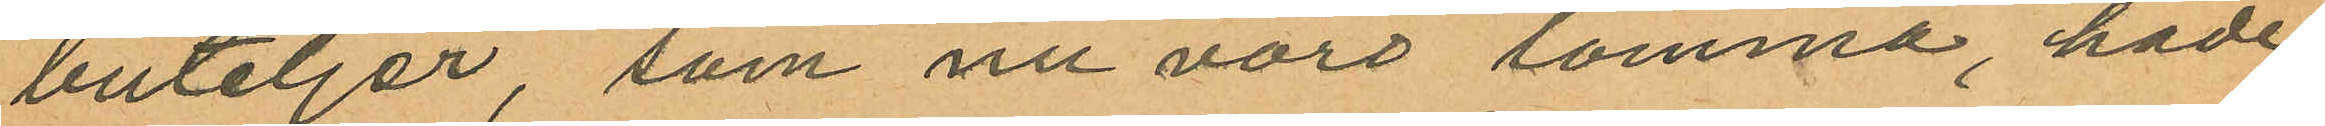buteljer, som nu voro tomma, hade
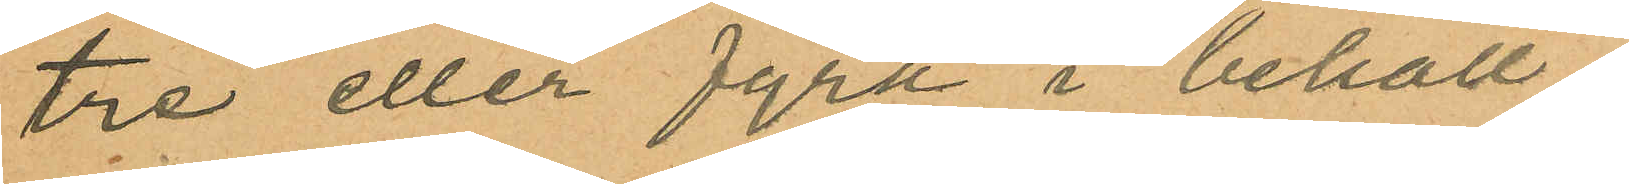tre eller fyra i behåll;
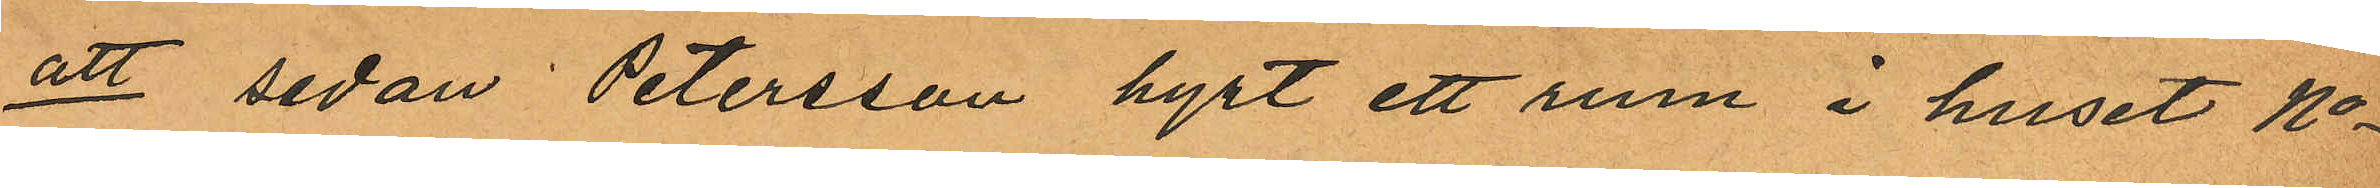att sedan Petersson hyrt ett rum i huset No
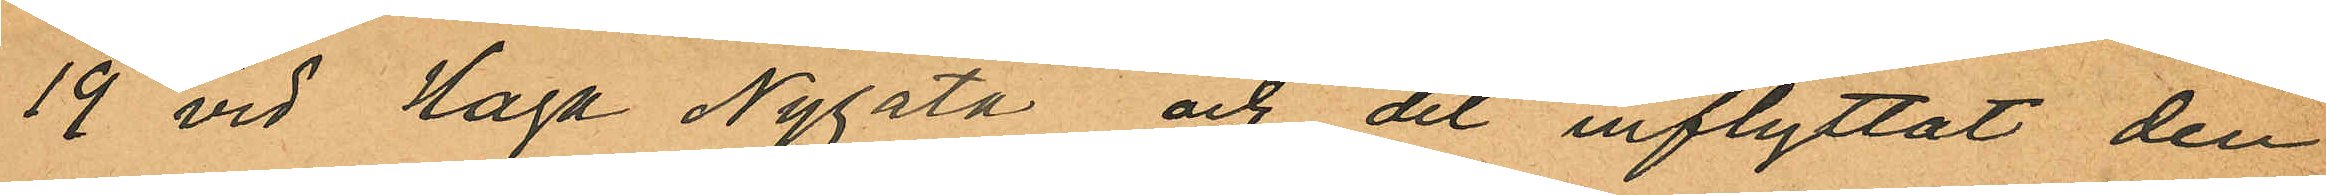19 vid Haga Nygata och dit inflyttat den
